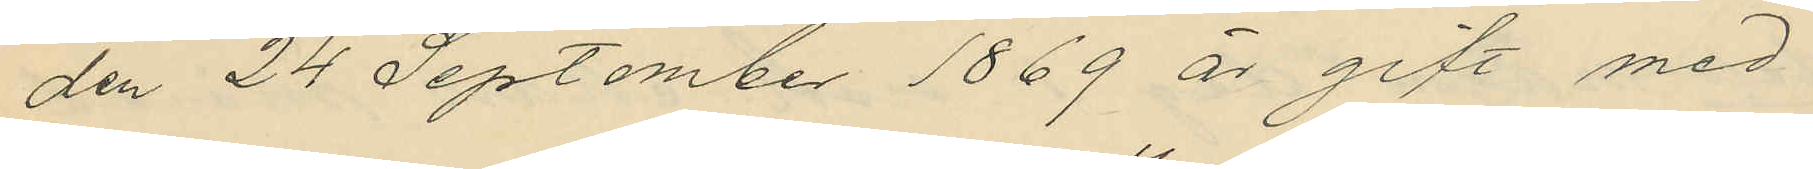den 24 September 1869 är gift med
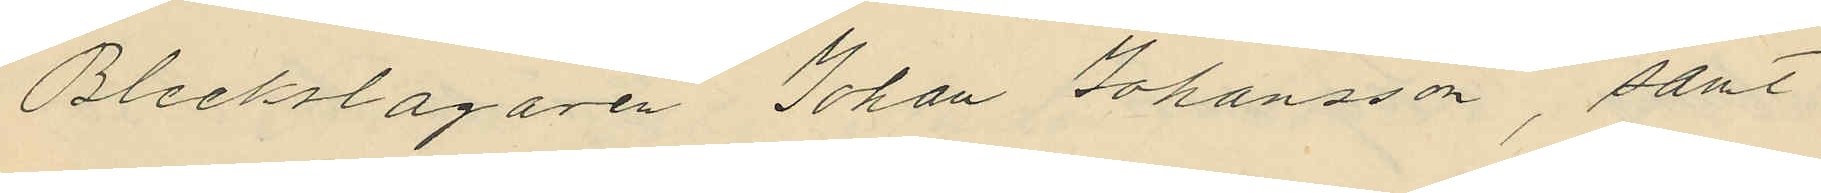Bleckslagaren Johan Johansson, samt
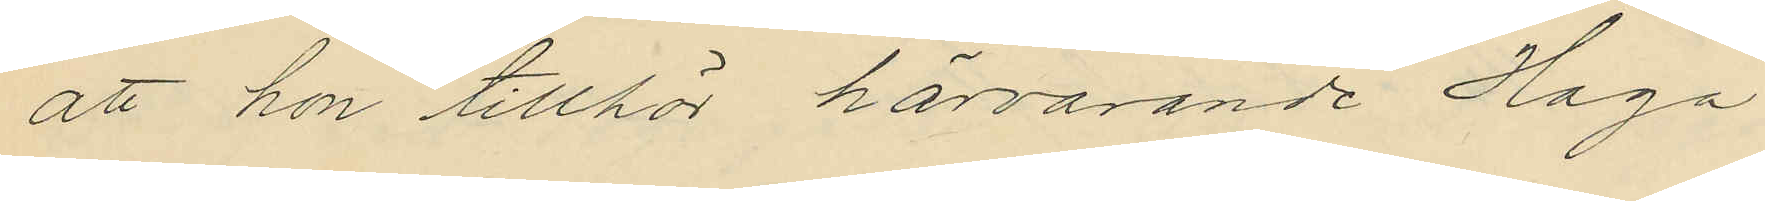att hon tillhör härvarande Haga
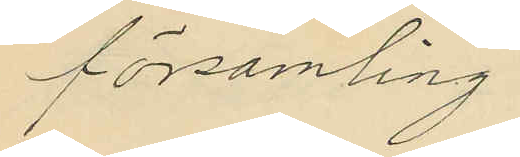församling.
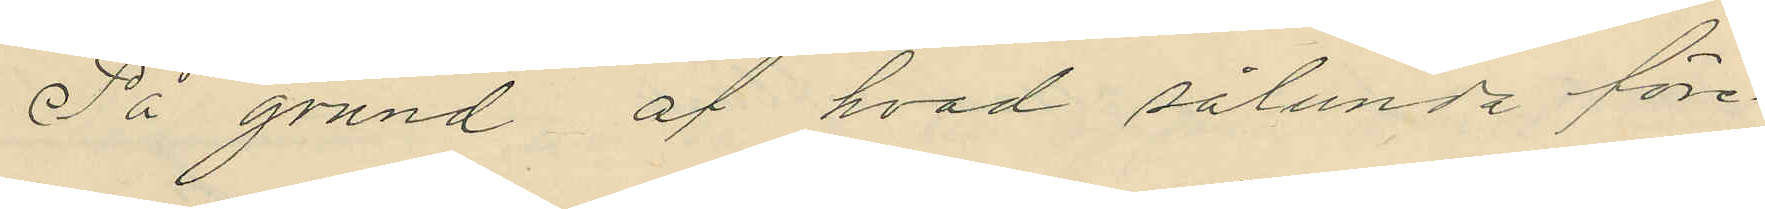På grund af hvad sålunda före¬
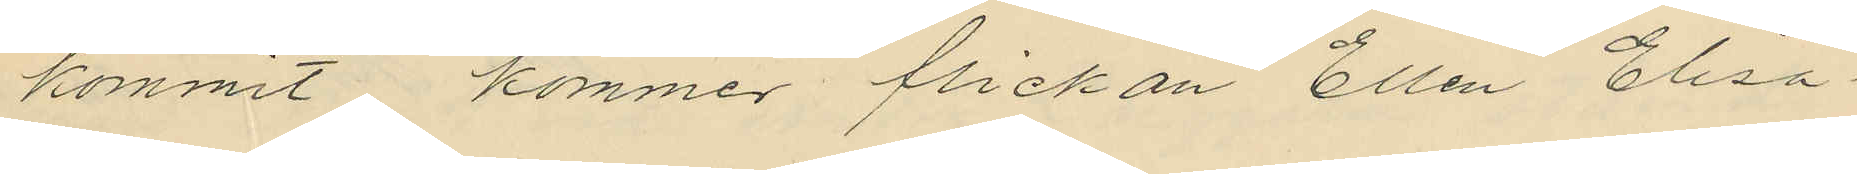kommit kommer flickan Ellen Elisa¬
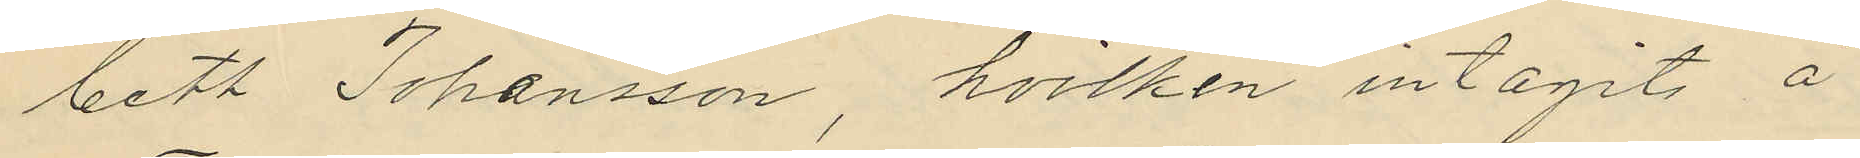beth Johansson, hvilken intagits å
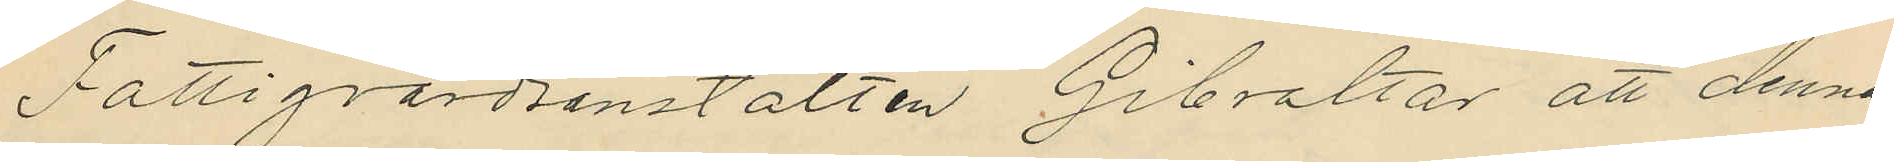Fattigvårdsanstalten Gibraltar att denna
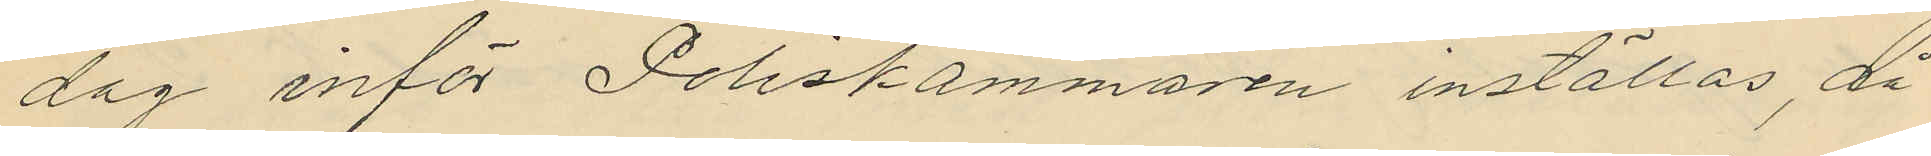dag inför Poliskammaren inställas, då
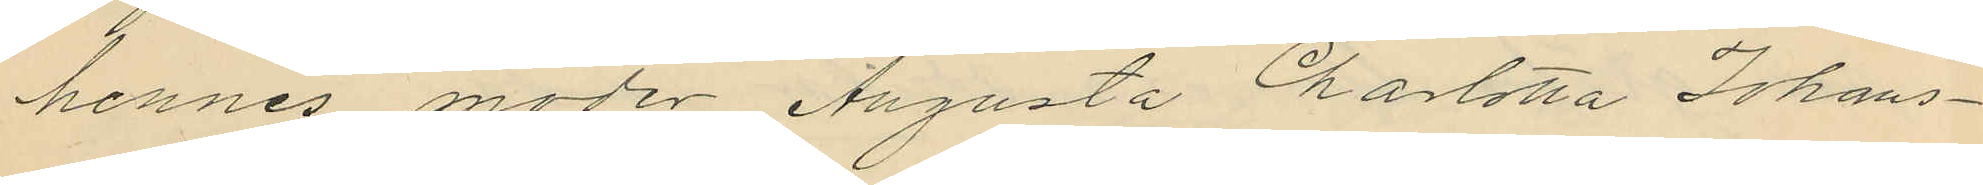hennes moder Augusta Charlotta Johans¬
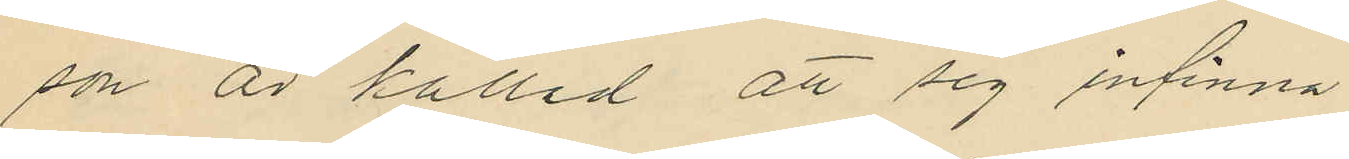son är kallad att sig infinna
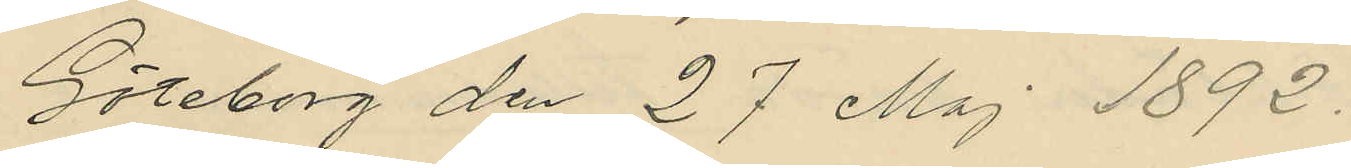Göteborg den 27 Maj 1892.
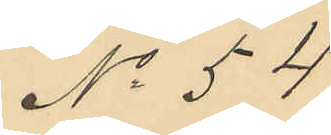No 54
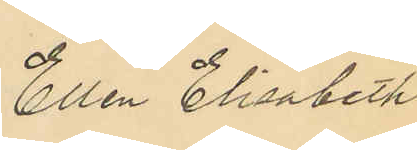Ellen Elisabeth
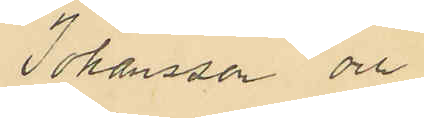Johansson och
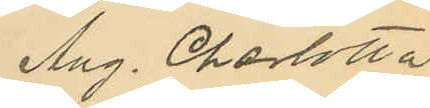Aug. Charlotta
